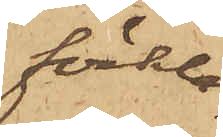förkla¬
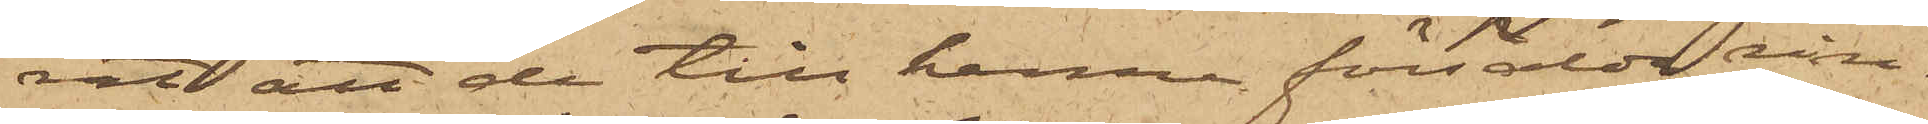rat att de till henne försålda rin¬
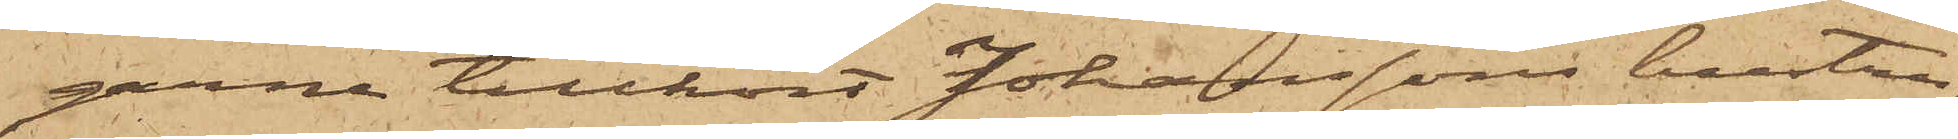garne tillhört Johanssons hustru,
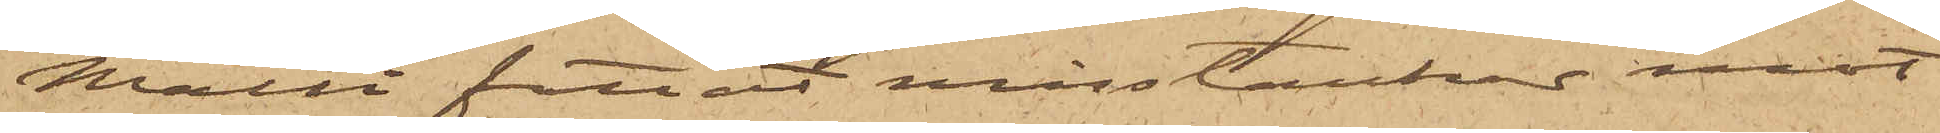Malli fattat misstankar mot
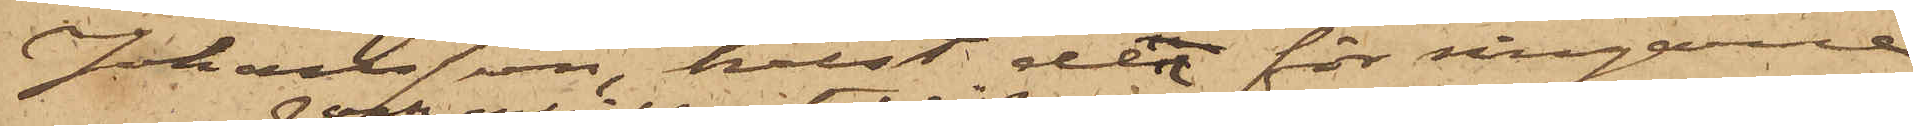Johansson, helst den för ringarne
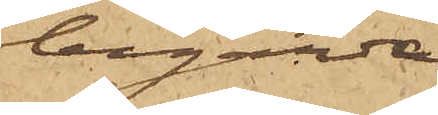begärda
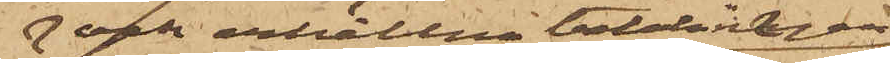och erhållna belåningen
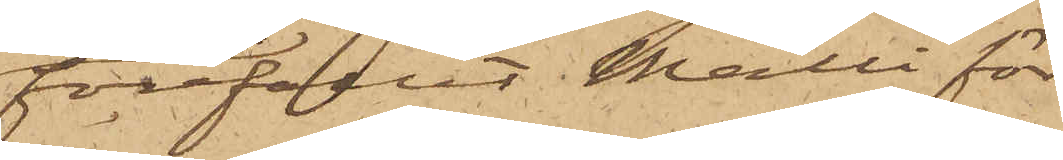förefallit Malli för
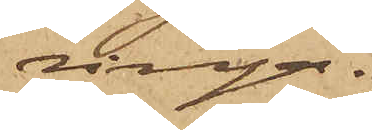ringa.
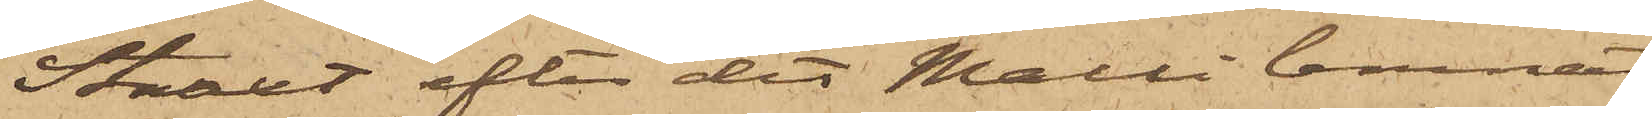Straxt efter det Malli lemnat
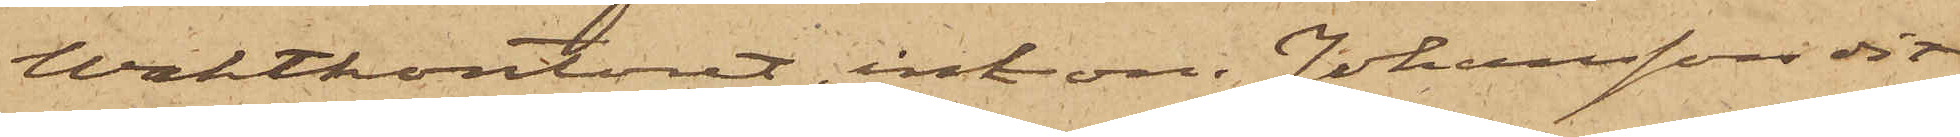Waktkontoret, inkom Johansson dit
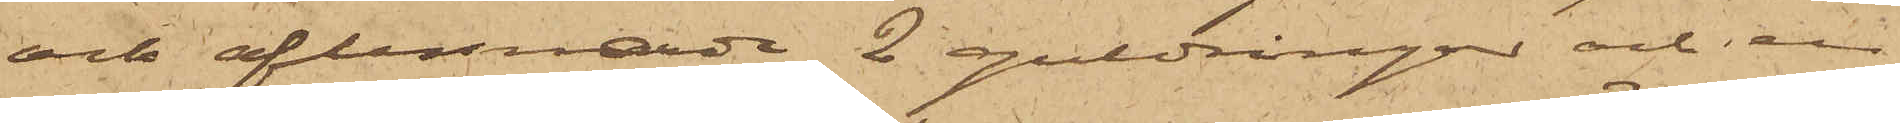och aflemnade 2 guldringar och en
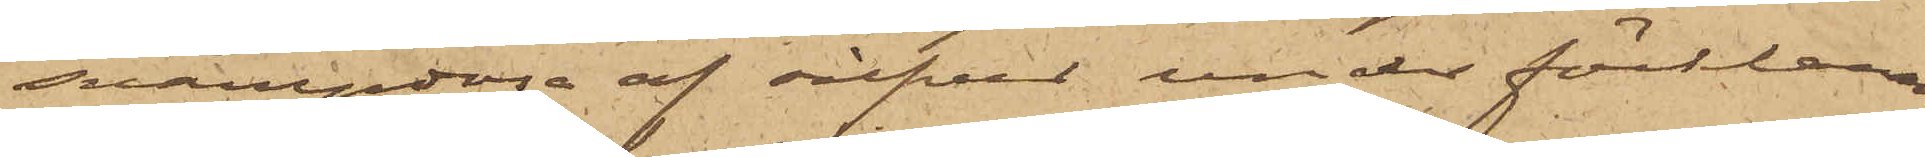svampdosa af silfver under förklaran¬
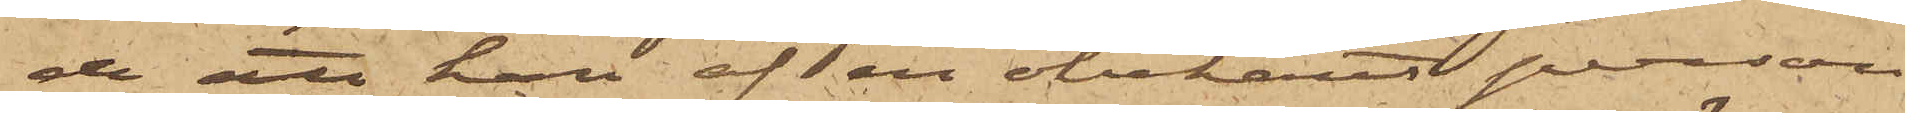de att han af en obekant person
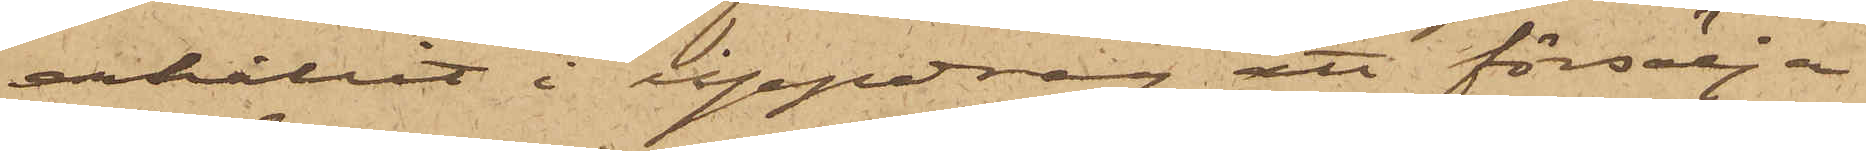erhållit i uppdrag att försälja
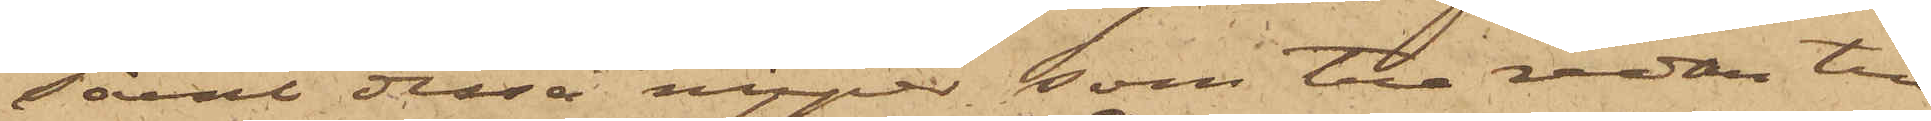såväl dessa nipper, som tre redan till
